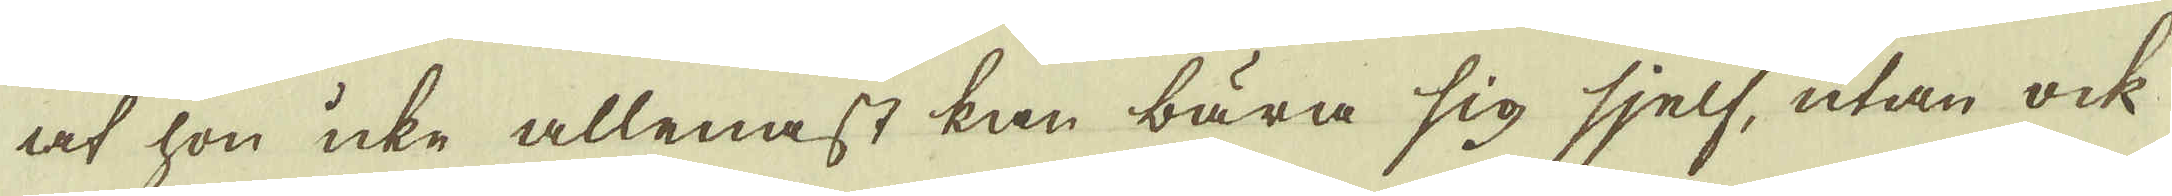at hon icke allenast kan bära sig sjelf, utan ock
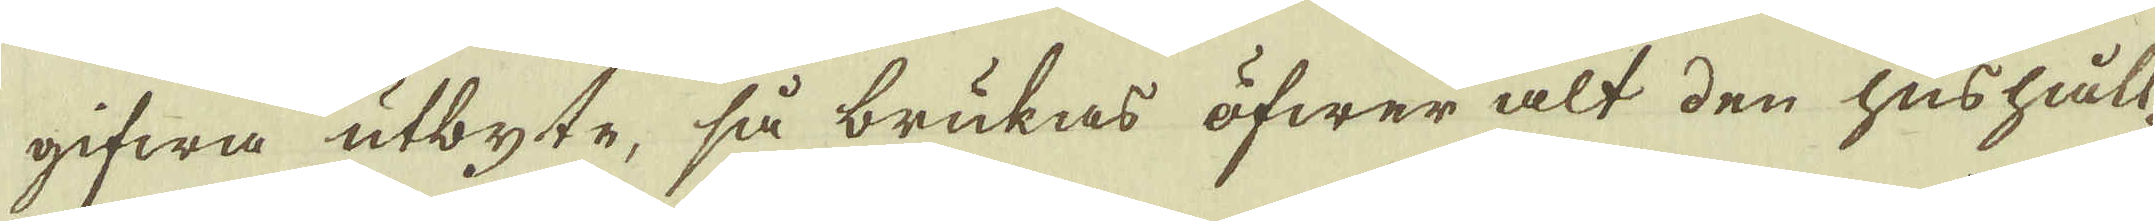gifwa utbyte, så brukas öfwer alt den hushåll-
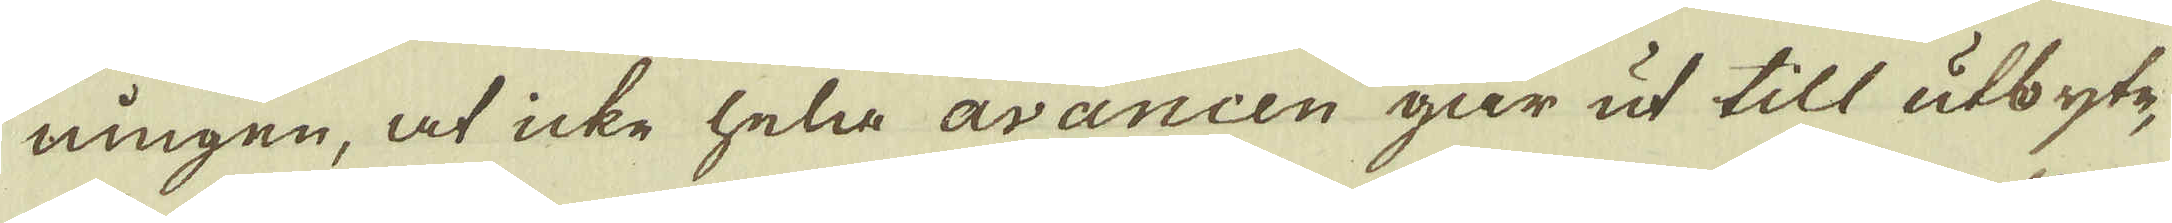ningen, at icke hela avancen går ut till utbyte,
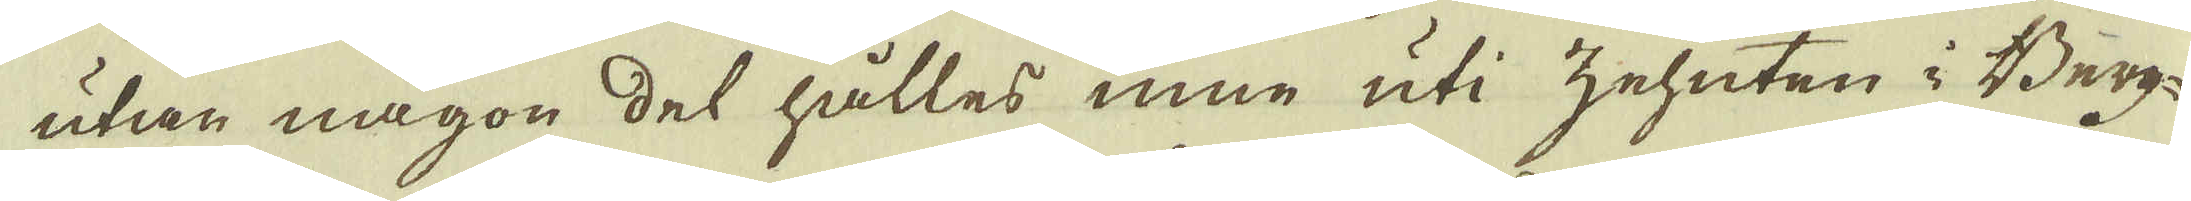utan någon del hålles inne uti zehnten i Berg-
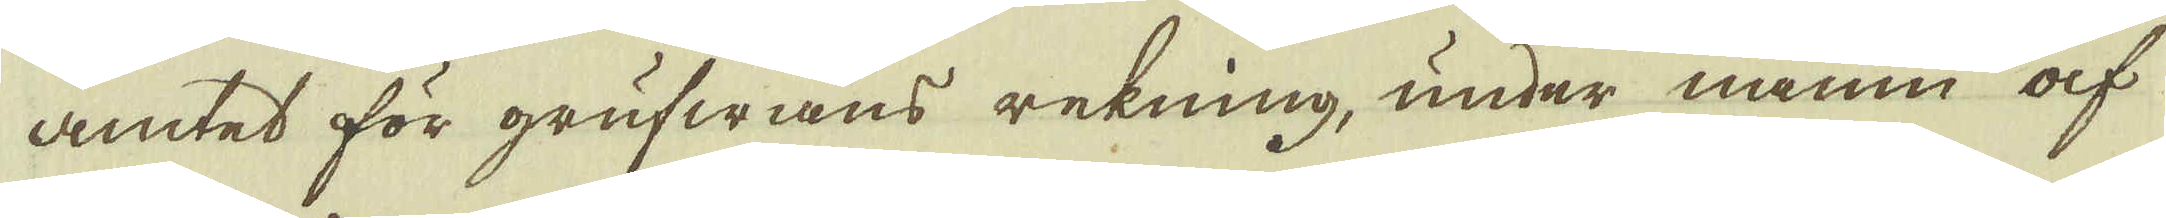amtet för grufwans rekning, under namn af
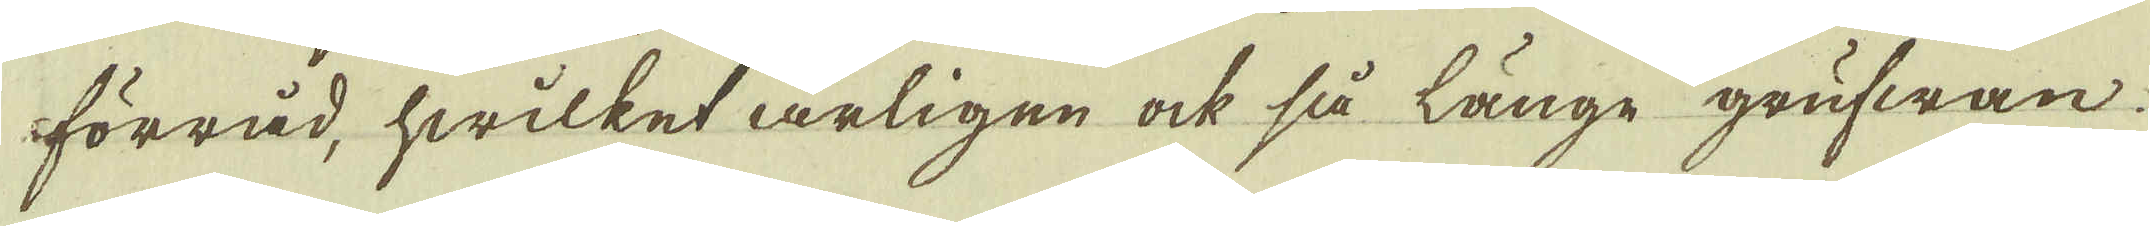förråd, hwilket årligen ock så länge grufwan
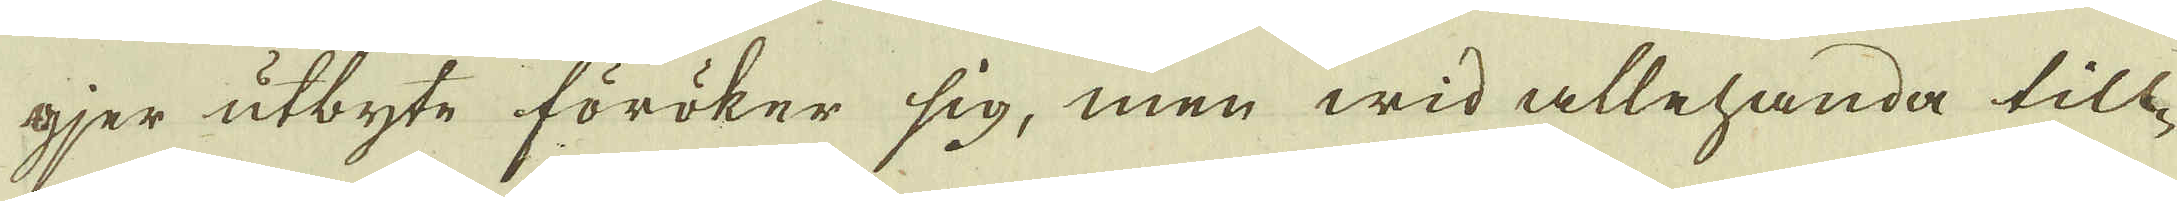gjer utbyte föröker sig, men wid allehanda till-
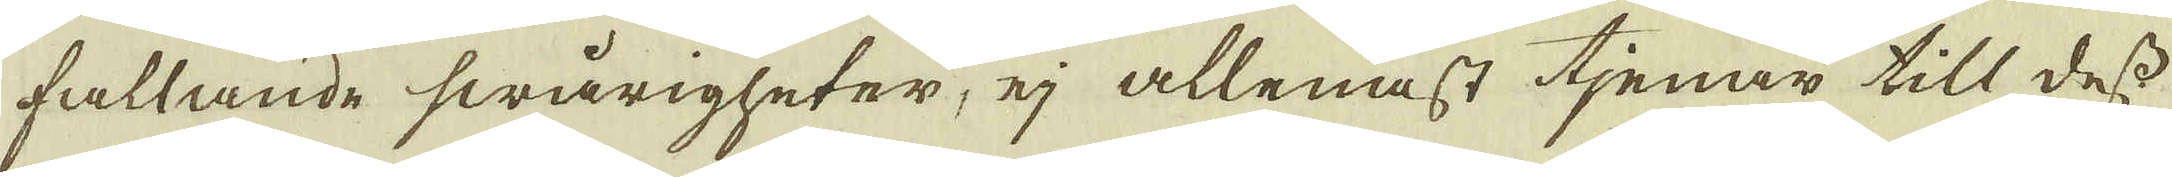fallande swårigheter, ej allenast tjenar till dess
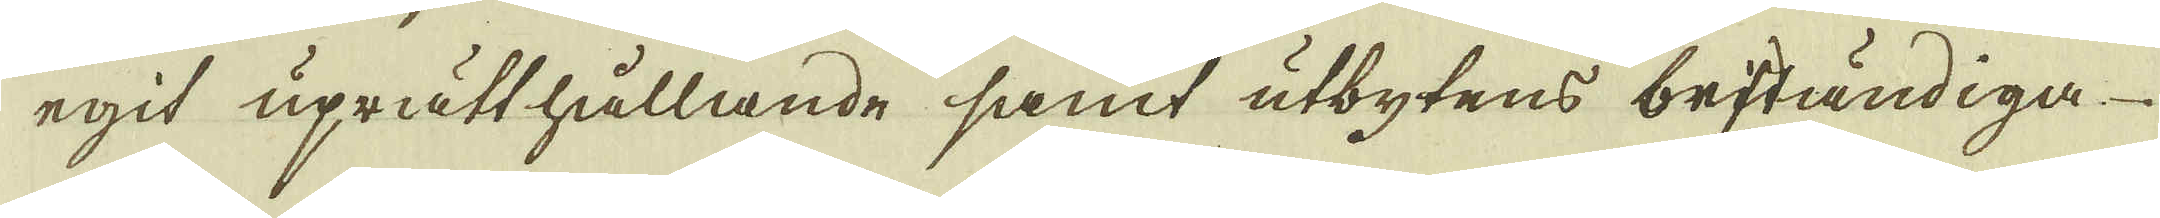egit uprätthållande samt utbytens beständiga
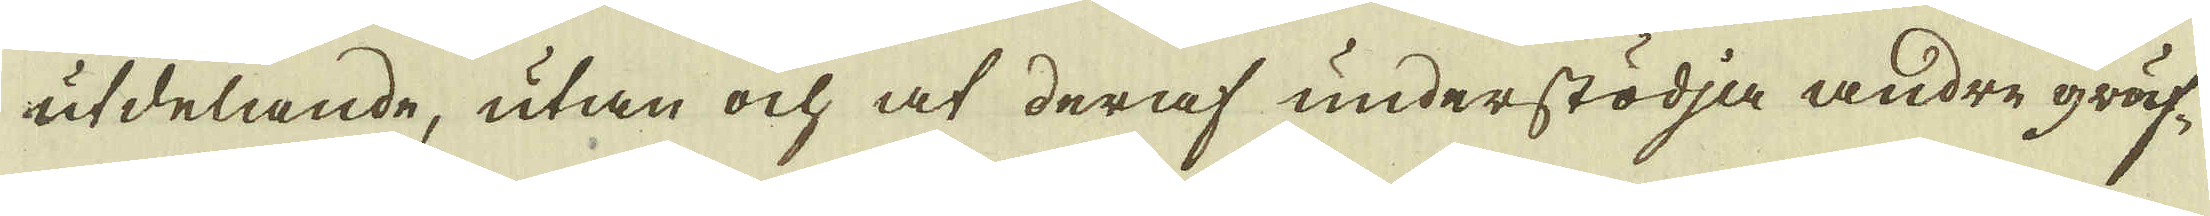utdelande, utan ock at deraf understödja andre gruf-
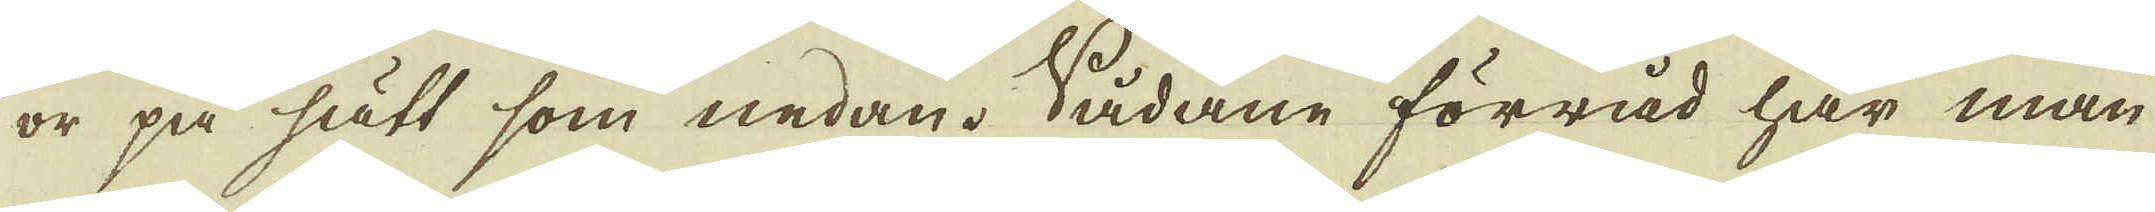or på sätt som nedan. Sådane förråd har man
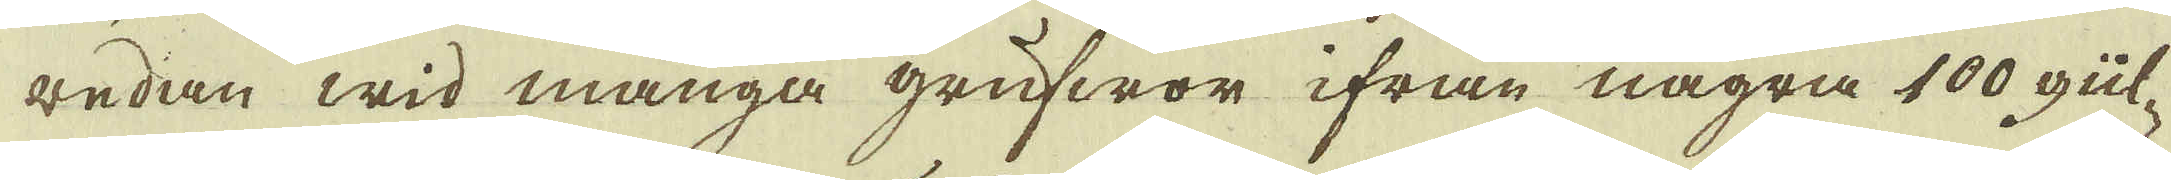redan wid många grufwor ifrån några 100 gül-
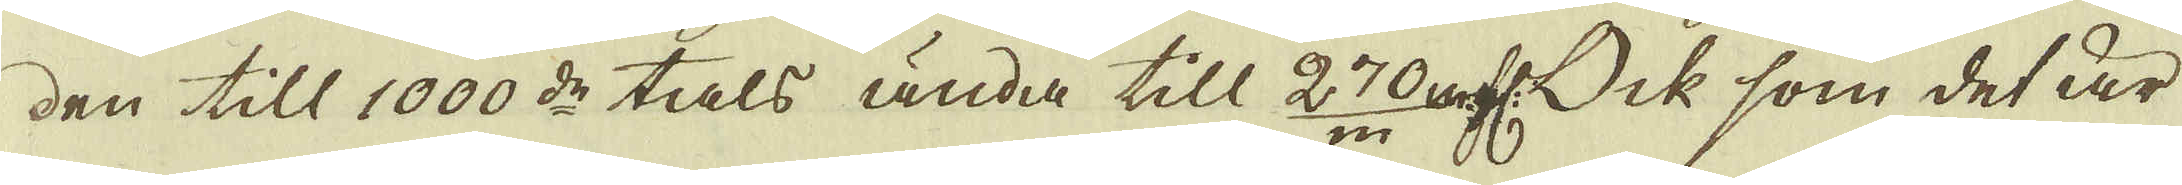den till 1000:de tals ända till 270 m.fl: Ock som det är
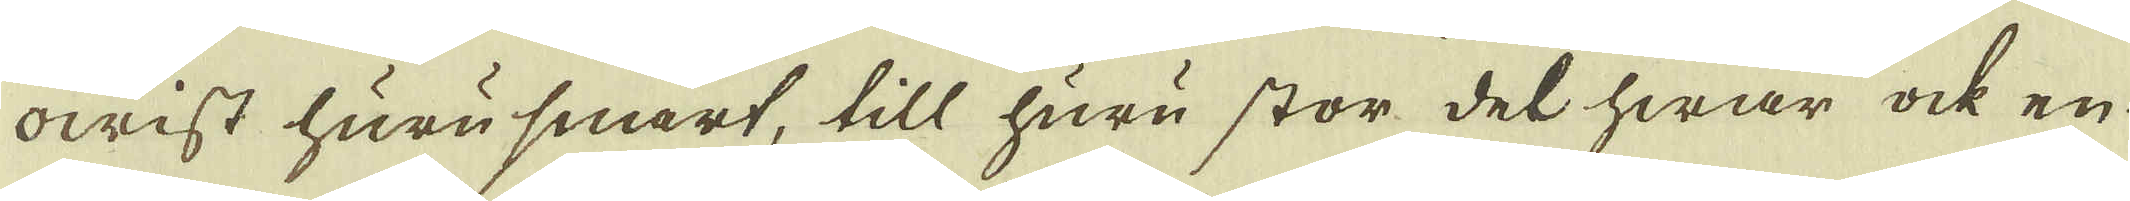owist huru snart, till huru stor del hwar ock en
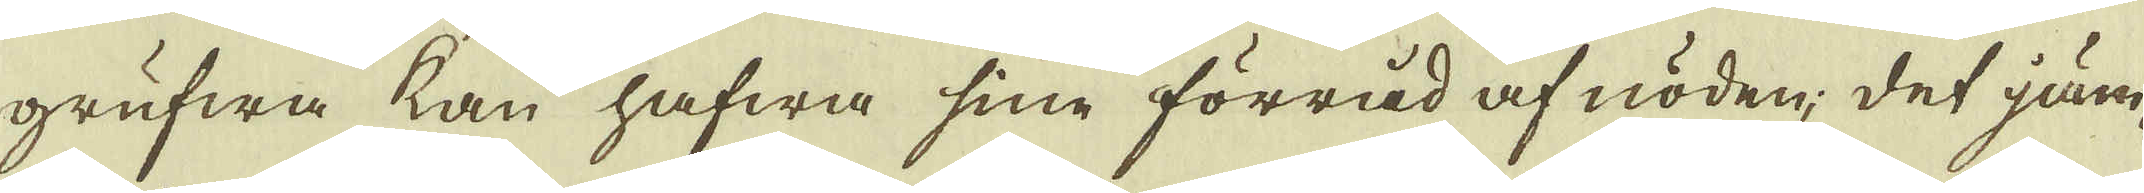grufwa kan hafwa sine förrad af nöden; det jäm-
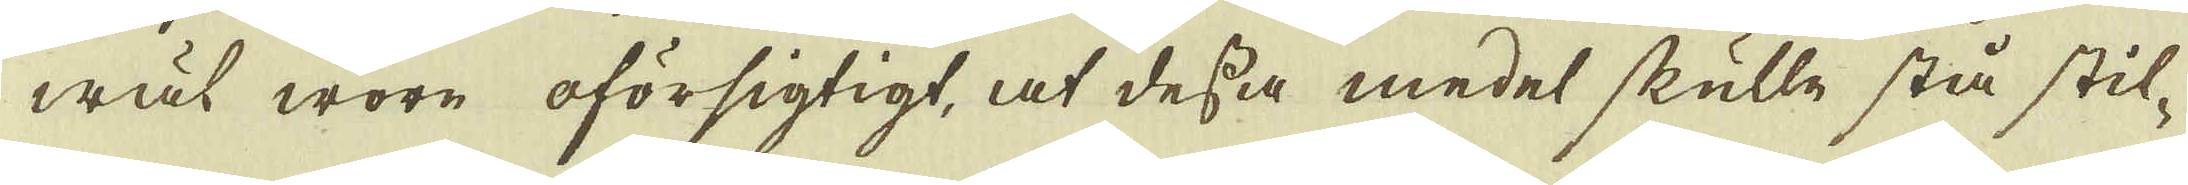wäl wore oförsigtigt, at dessa medel skulle stå stil-
